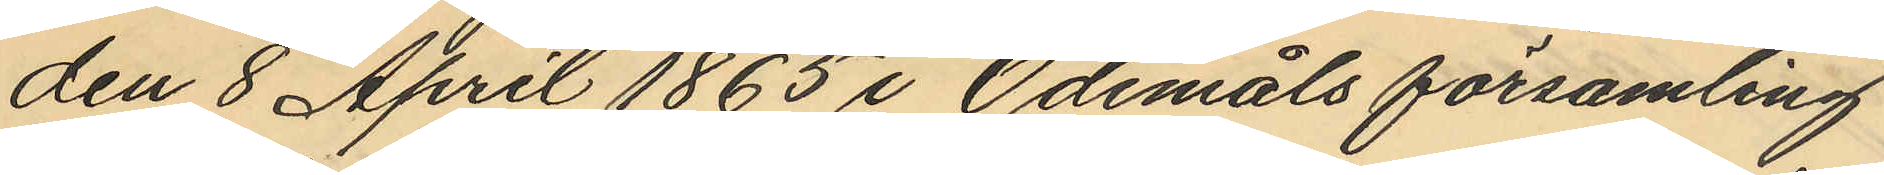den 8 April 1865 i Ödemåls församling
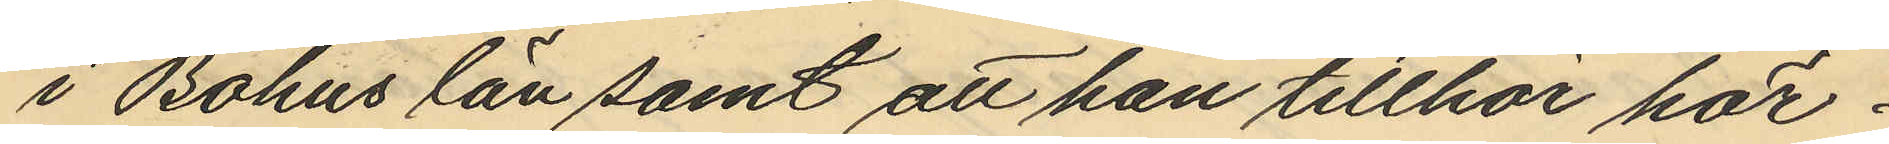i Bohus län samt att han tillhör här¬
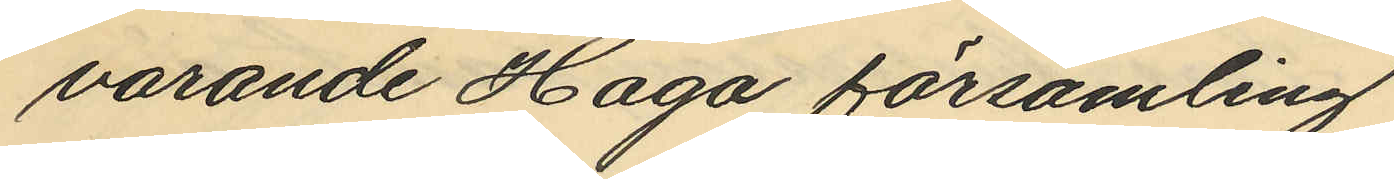varande Haga församling.
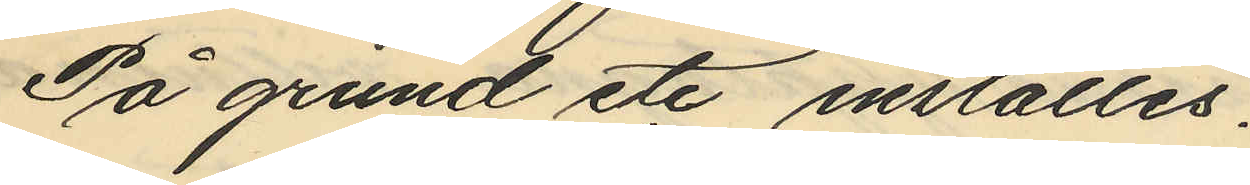På grund etc inställes.
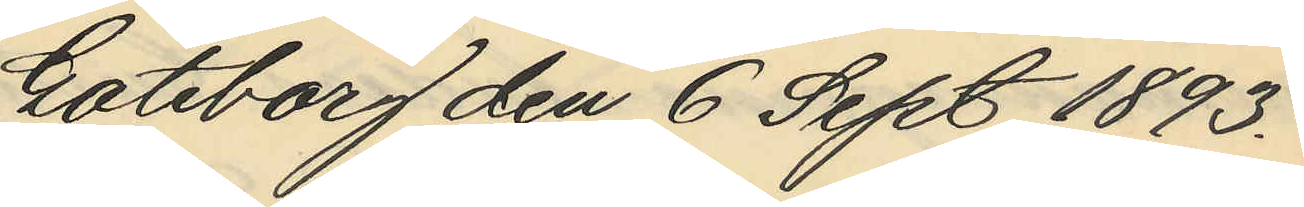Göteborg den 6 Sept 1893.
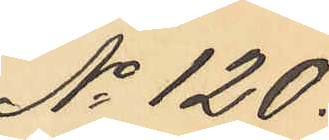No 120.
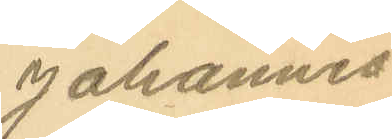Johannes
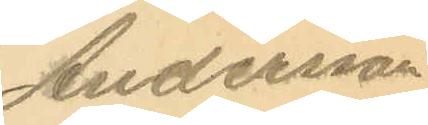Andersson
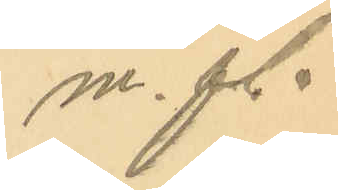m. fl.
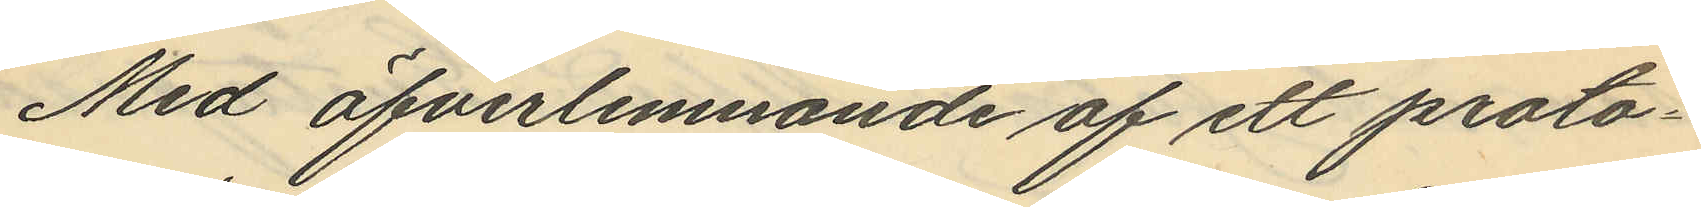Med öfverlemnande af ett proto¬
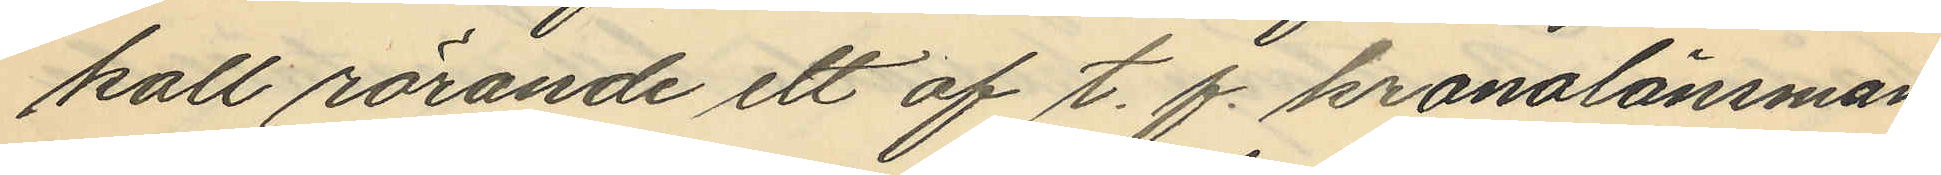koll rörande ett af t. f. kronolänsman¬
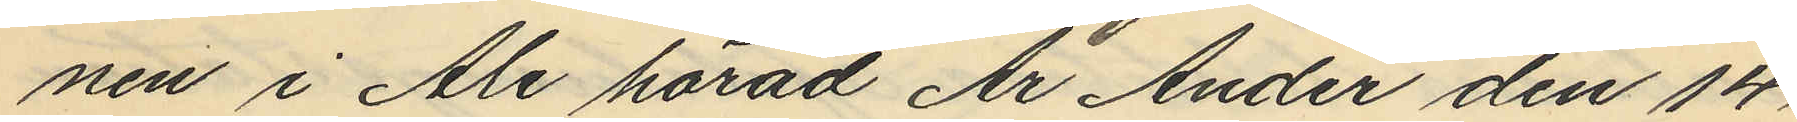nen i Ale härad Ar Ander den 14
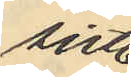sistl.
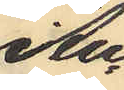Au¬
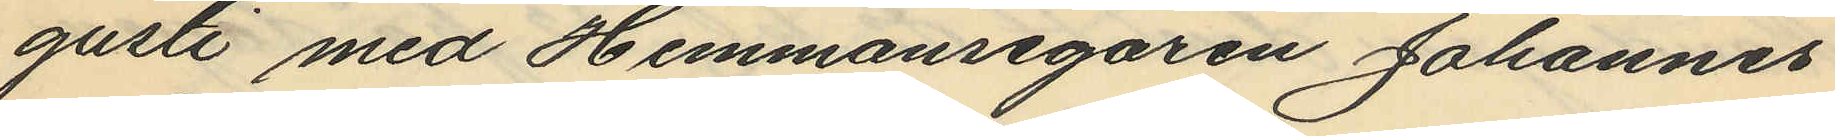gusti med Hemmansegaren Johannes
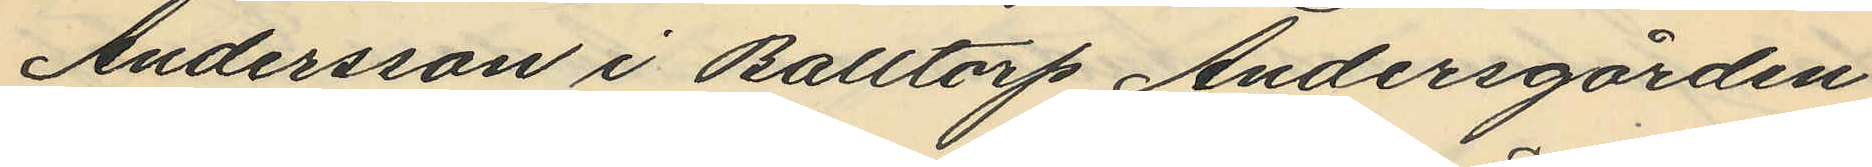Andersson i Balltorp Andersgården
